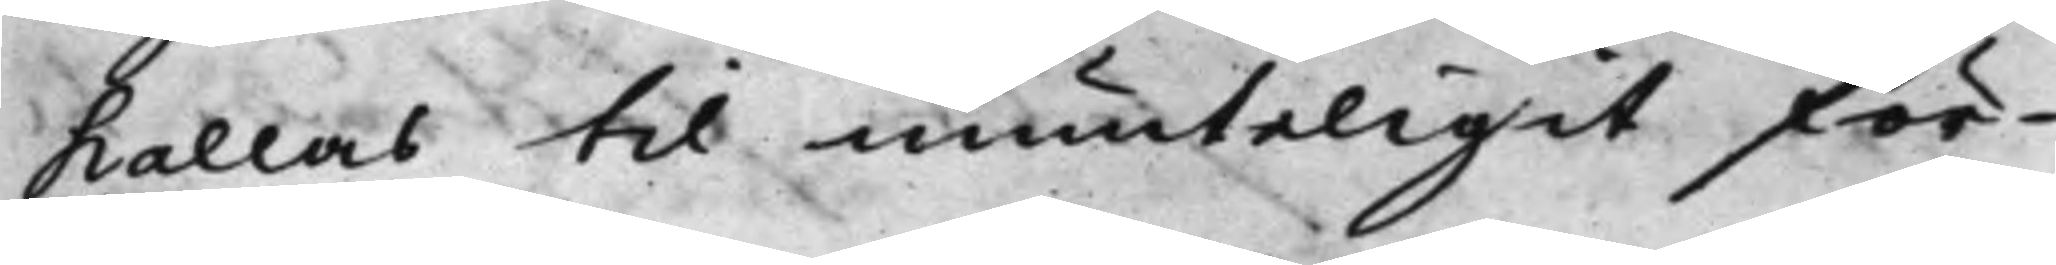kallas til munteligit för¬
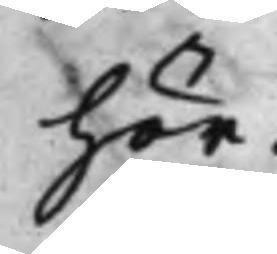hör.
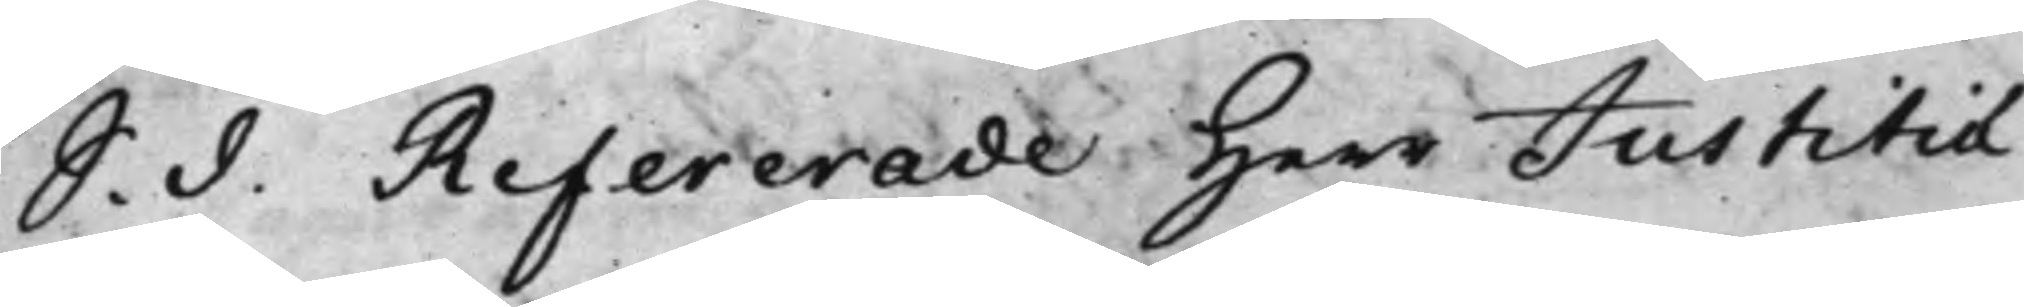S. d. Refererade Herr Justitiæ
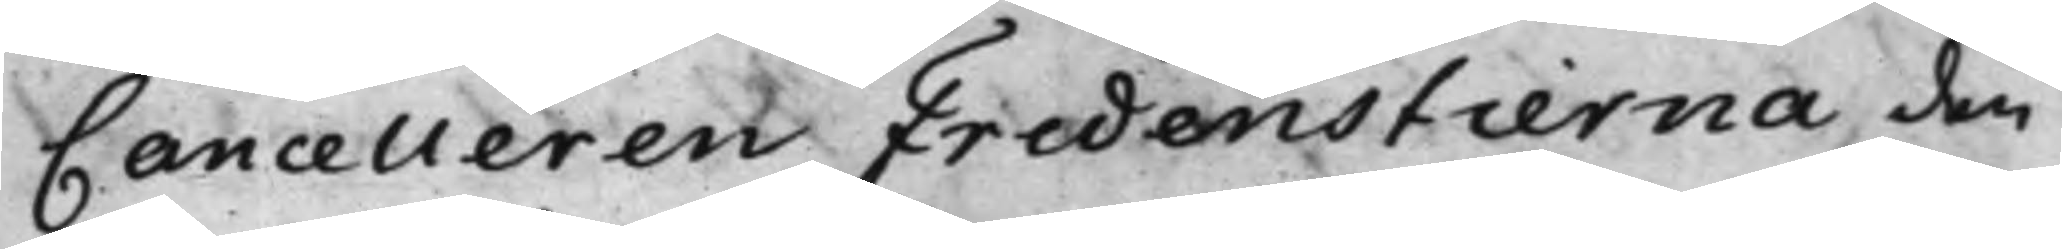Cancelleren Fredenstierna den
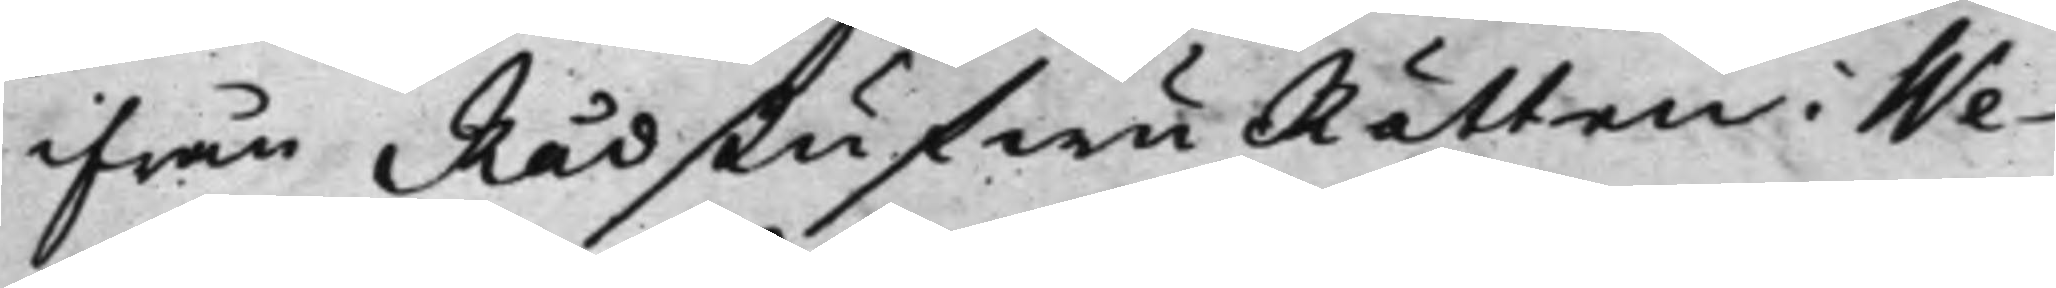ifrån RådstufwuRätten i We¬
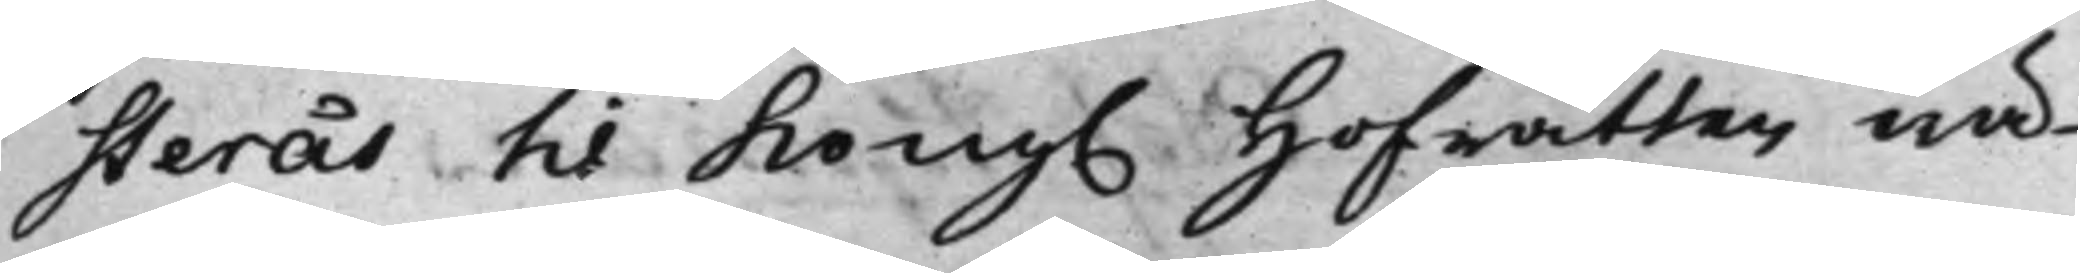sterås til Kong. Hofrätten wä¬
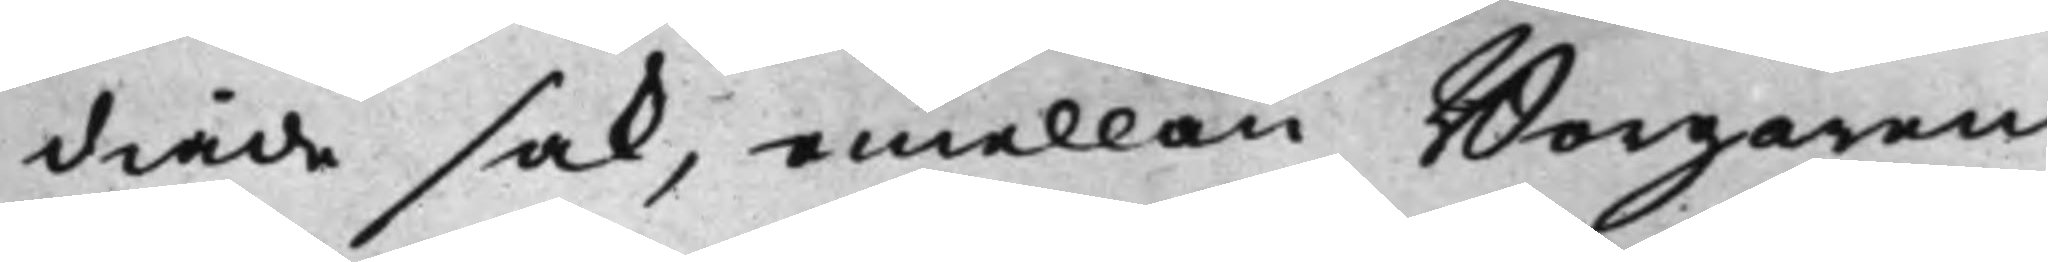diade sak, emellan Borgaren
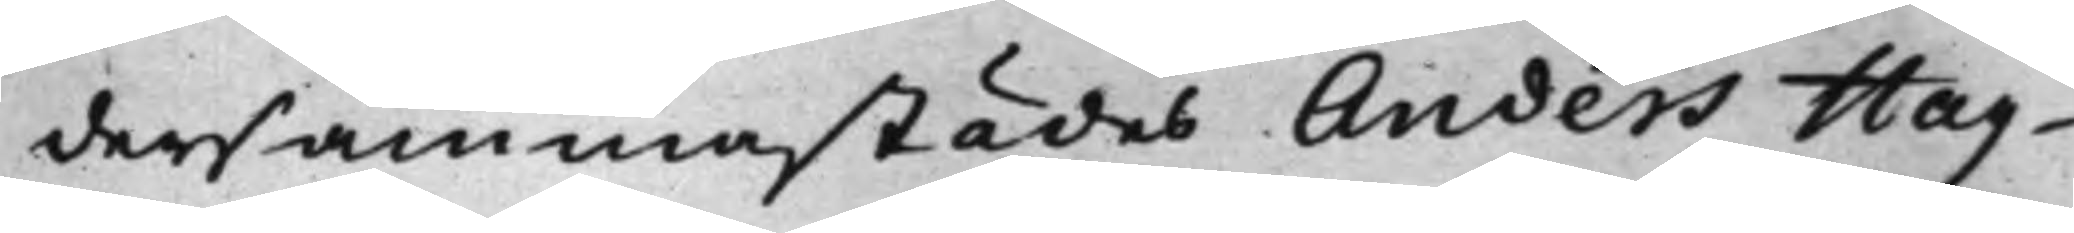dersammastädes Anders Hag¬
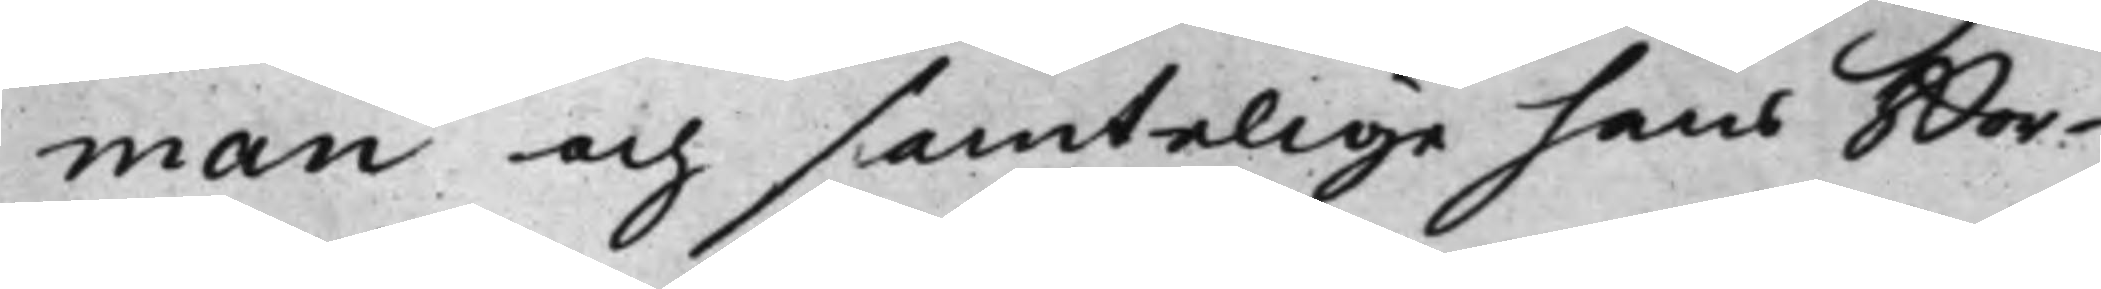man och samtelige hans Bor¬
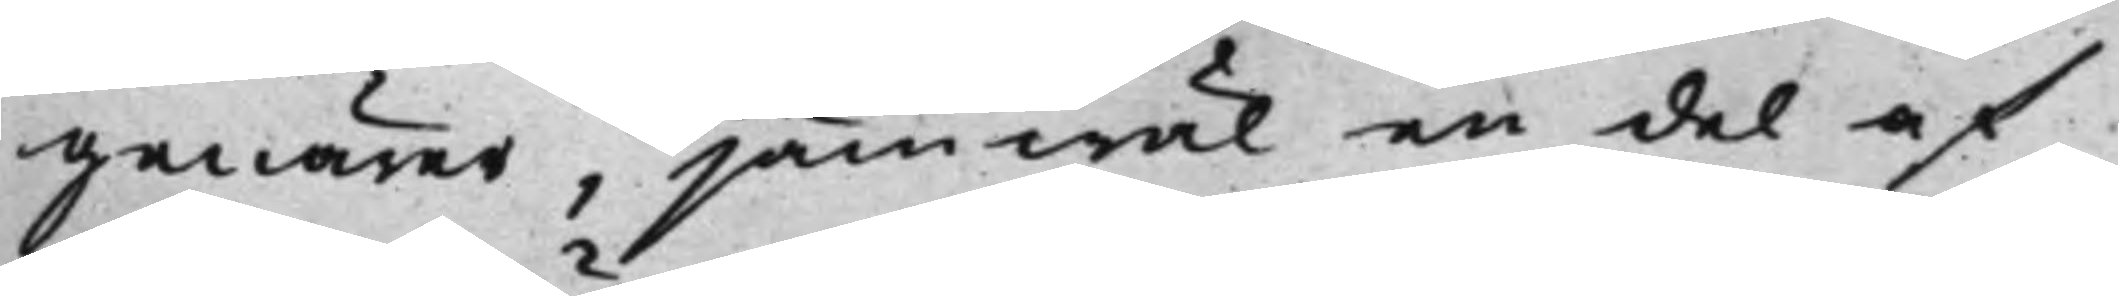genärer, jämwäl en del af
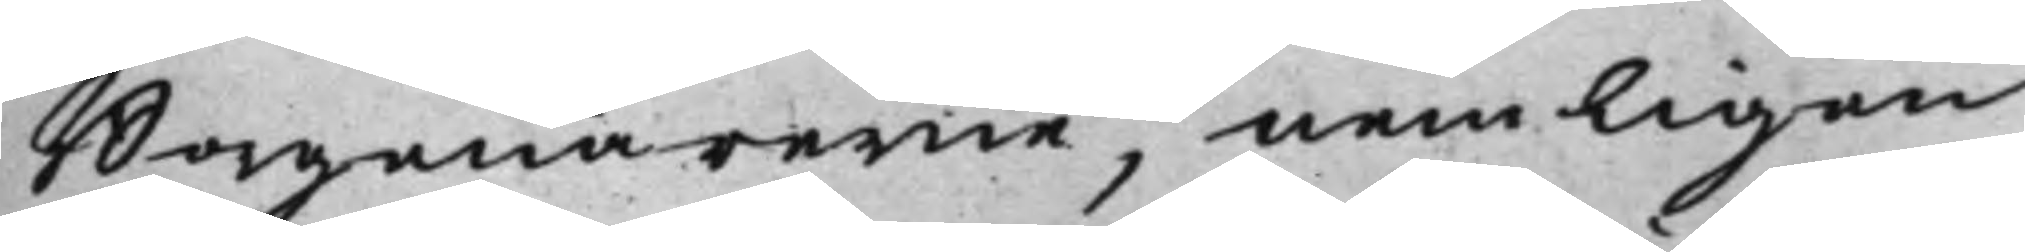Borgenärerne, nemligen
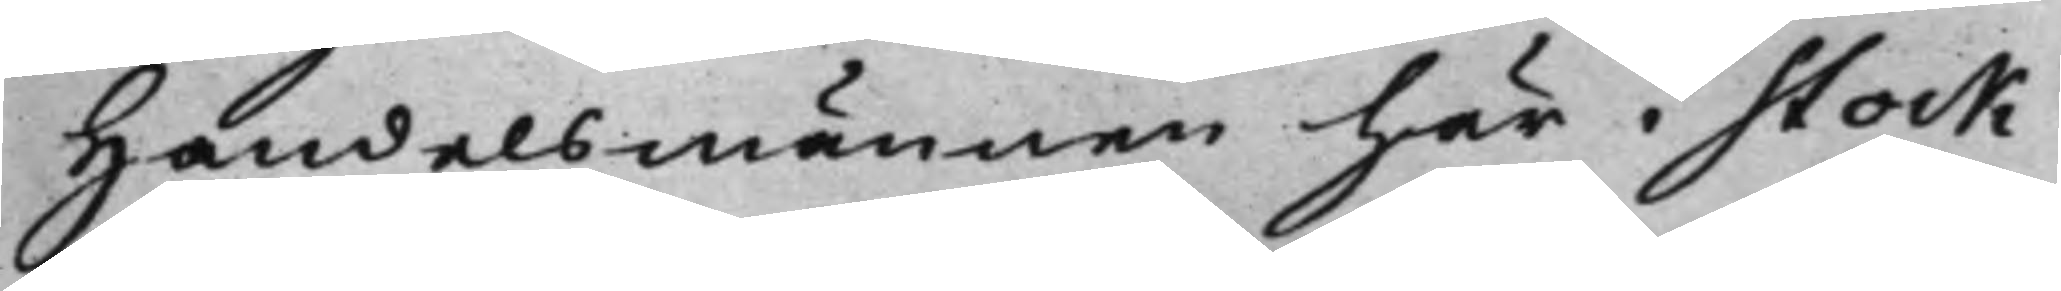Handelsmännen här i Stock¬
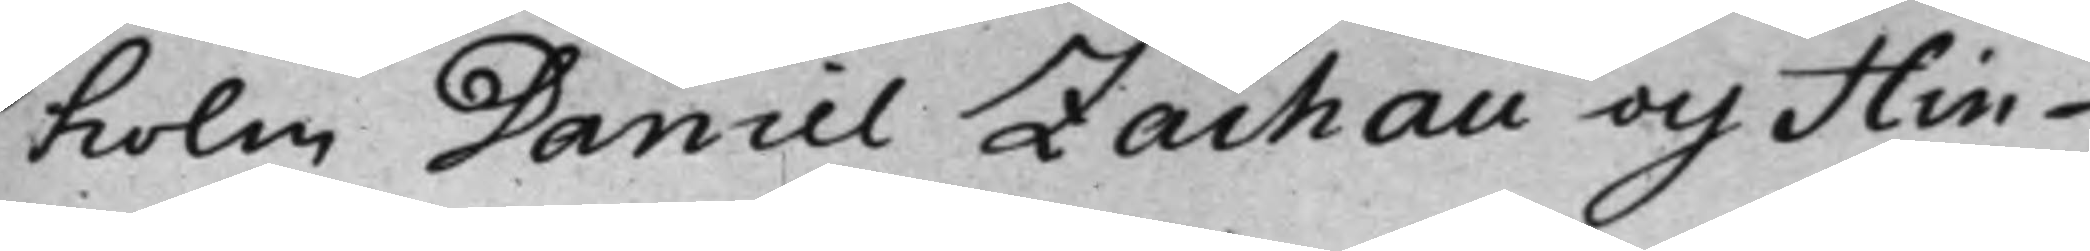holm Daniel Zachau och Hin¬
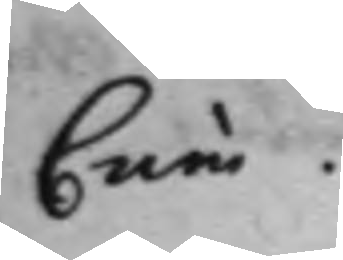Crim.
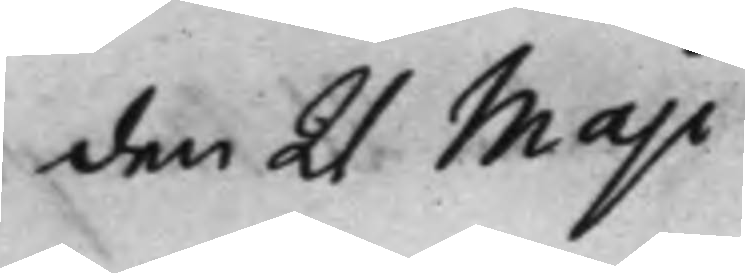den 21 Maji
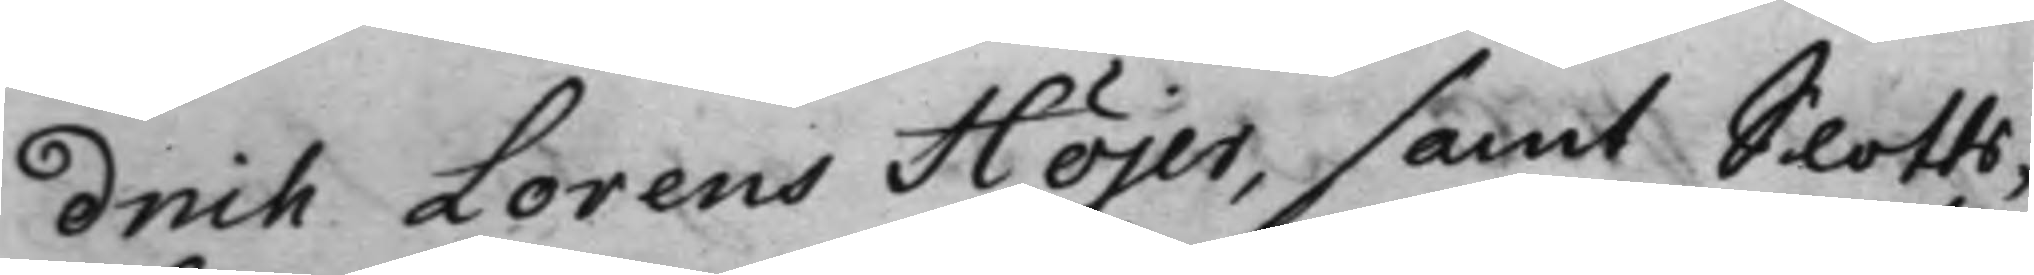drich Lorens Höjer, samt Slotts¬
